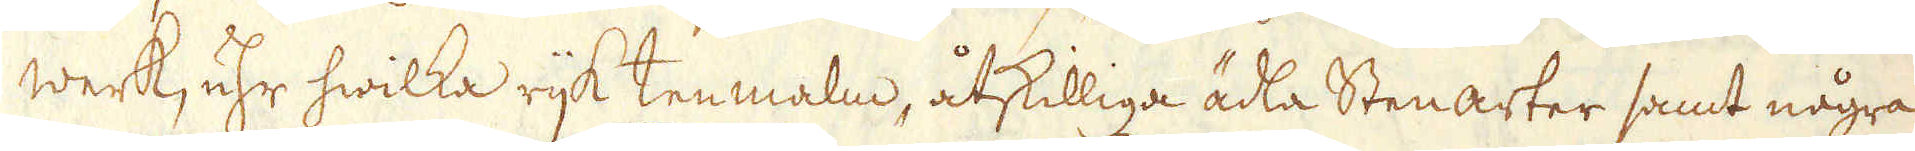werk, uhr hwilka rijk tenmalm, åtskilliga ädla Stenarter samt några
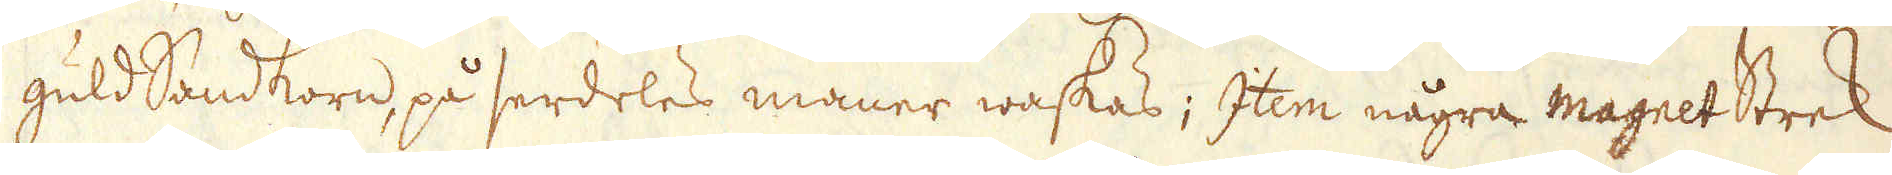guld Sandkorn, på serdeles maner waskas; Item några magnet Strek
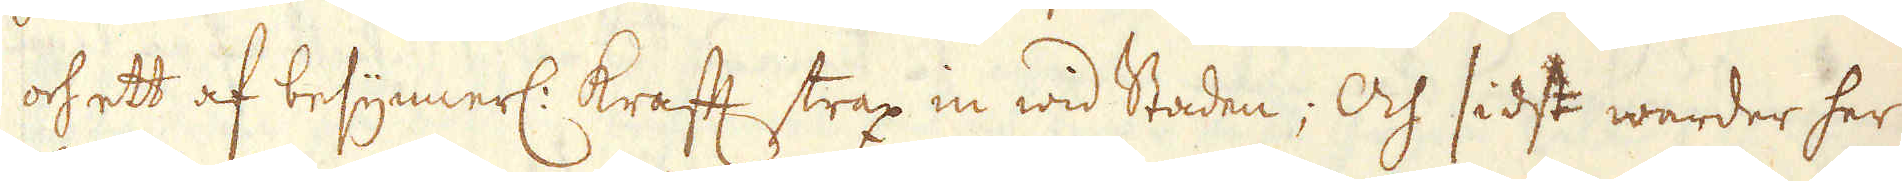och ett af besynnerl: krafft strax in wid Staden; Och sidst warder her
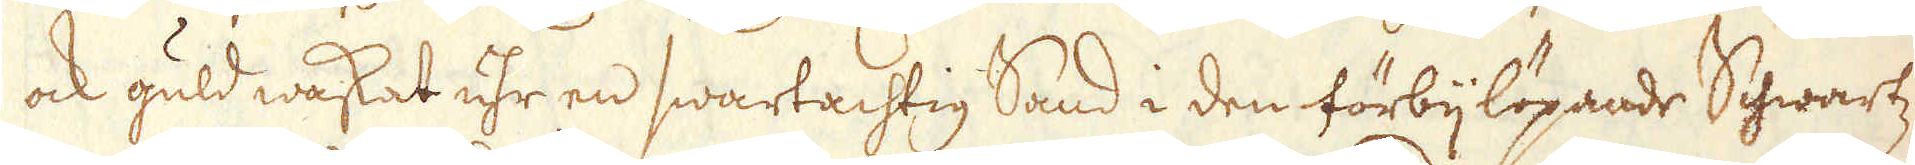ock guld waskat uhr en swartachtig Sand i den förbijlöpande Schwartz-
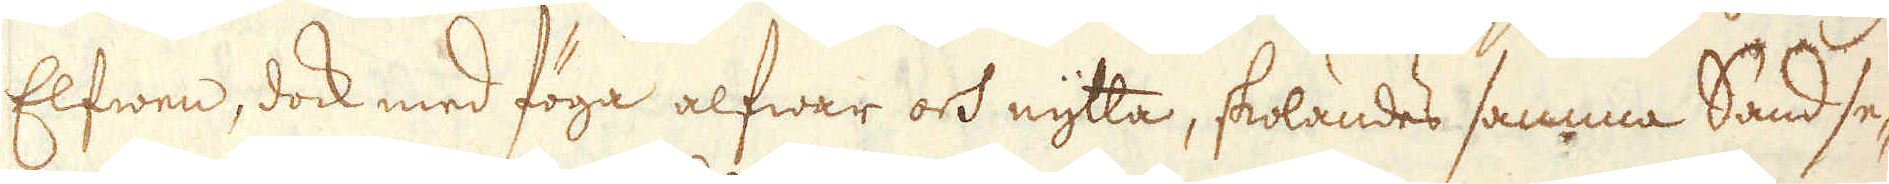Elfwen, dock med föga alfwar och nytta, skolandes samma Sand se-
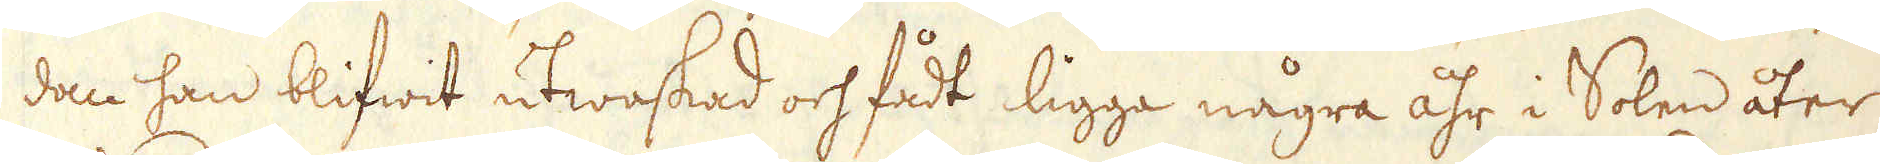dan han blifwit utwaskad och fådt ligga några åhr i Solen åter
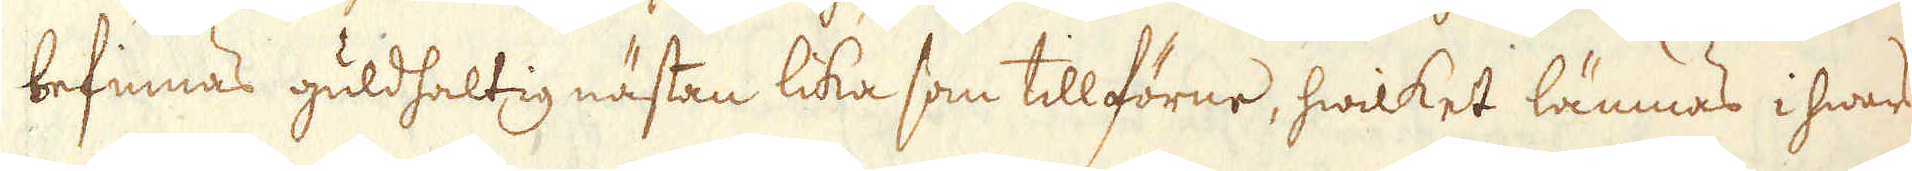befinnas guldhaltig nästan lika som tillförne, hwilket lämnas i hwars
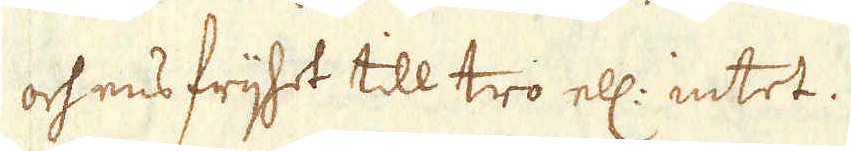och ens frijhet till tro ell: intet.
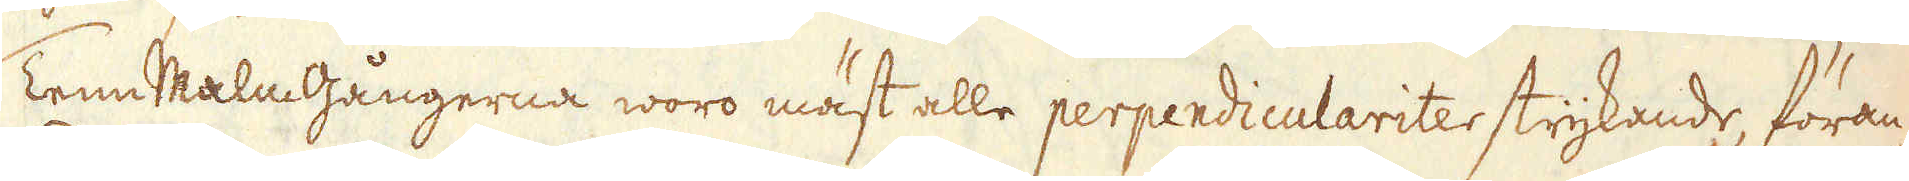Tenn Malmgångerna woro mäst alle perpendiculariter strykande, föran-
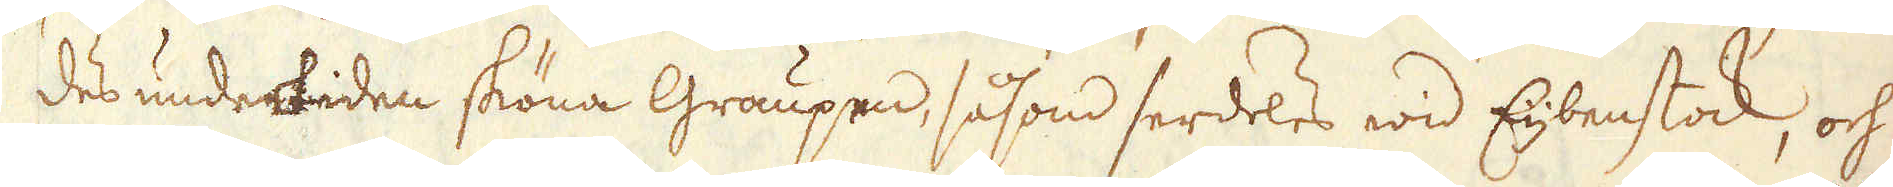des undertiden sköna Graupen, såsom serdeles wid Eijbenstock, och
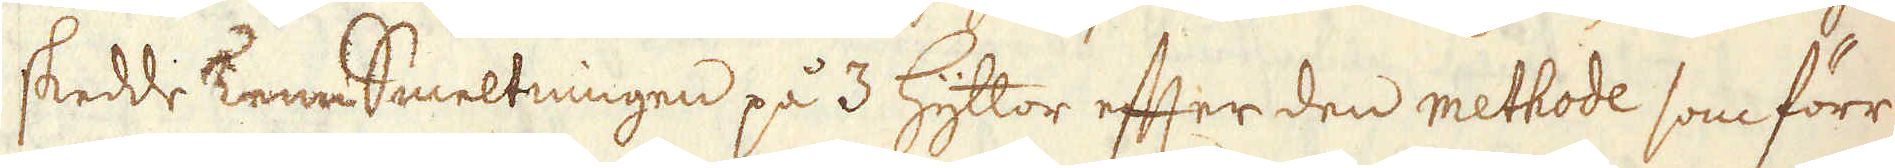skedde Tenn Smeltningen på 3 Hyttor efter den methode som förr
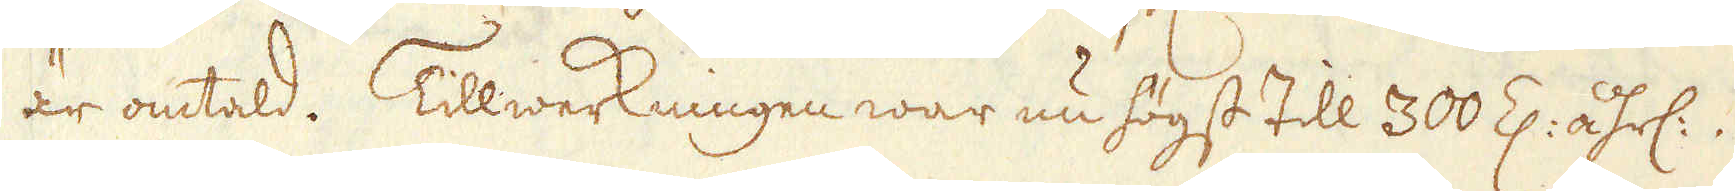är omtald. Tillwerkningen war nu högst till 300 Z: åhrl:.
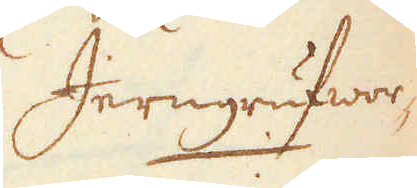Jerngrufwor-
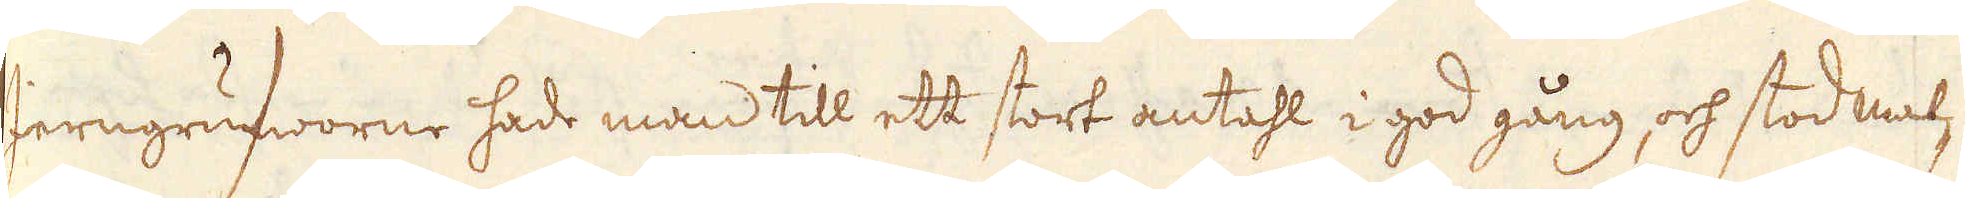Jerngrufworne hade man till ett stort antahl i god gång, och stod mal-
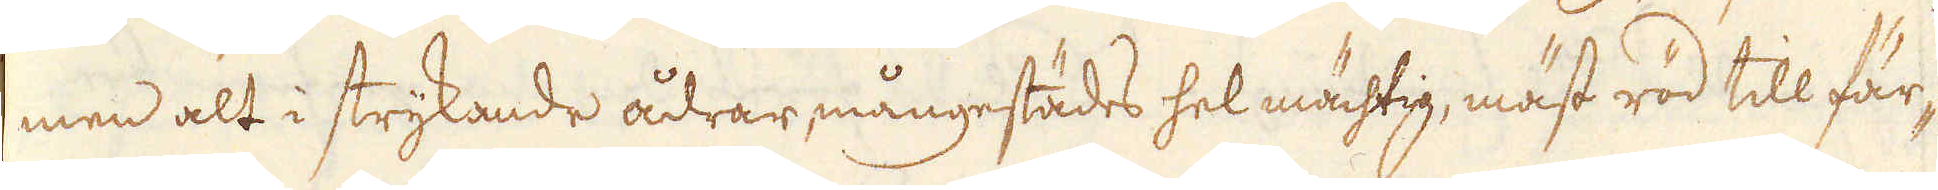men alt i strykande ådrar mångestädes hel mächtig, mäst röd till fär-
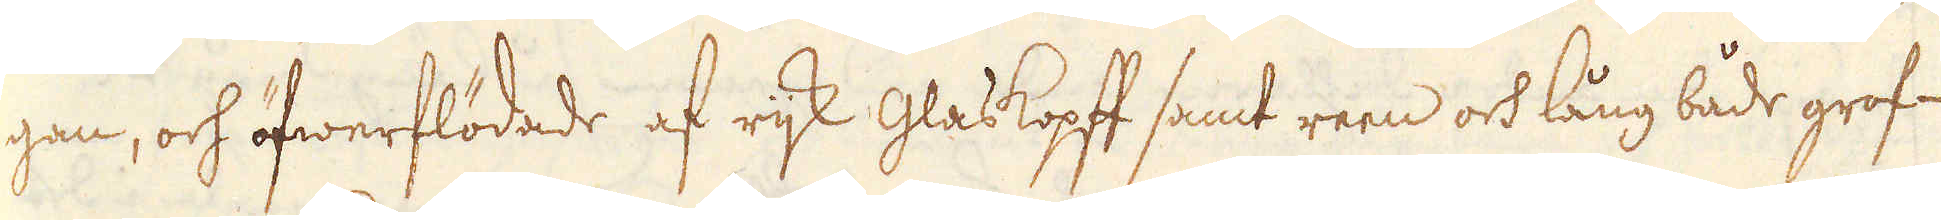gan, och öfwerflödade af rijk Glaskopff samt reen och lång både grof-
